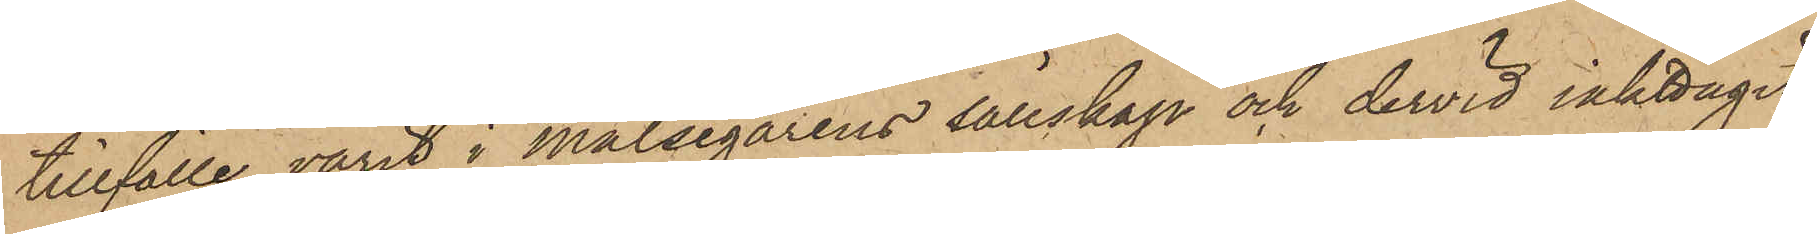tillfälle varit i Målsegarens sällskap och dervid iakttagit
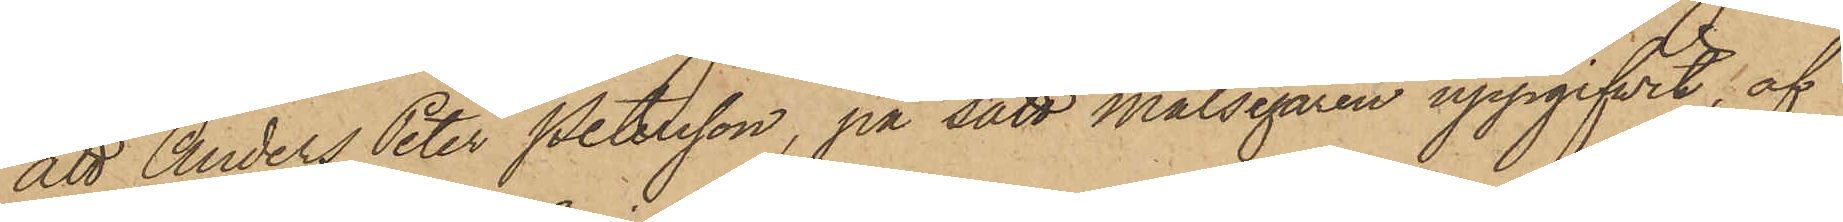att Anders Peter Petersson, på sätt Målsegaren uppgifvit, af
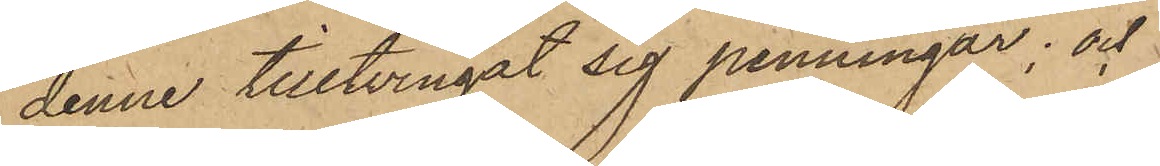denne tilltvingat sig penningar; och
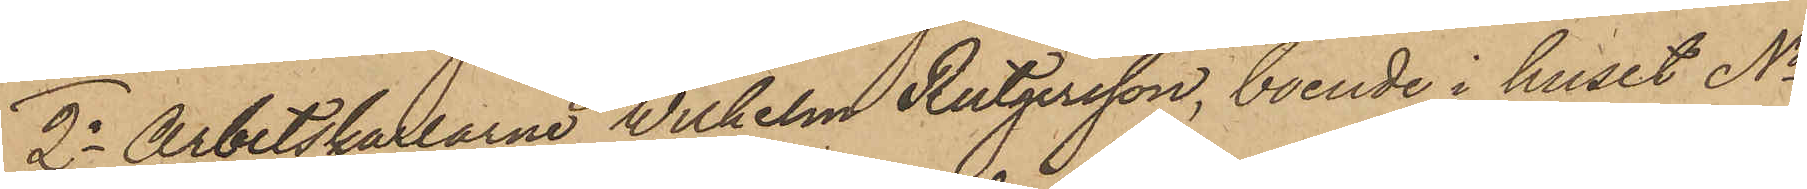2o Arbetskarlarne Wilhelm Rutgersson, boende i huset No
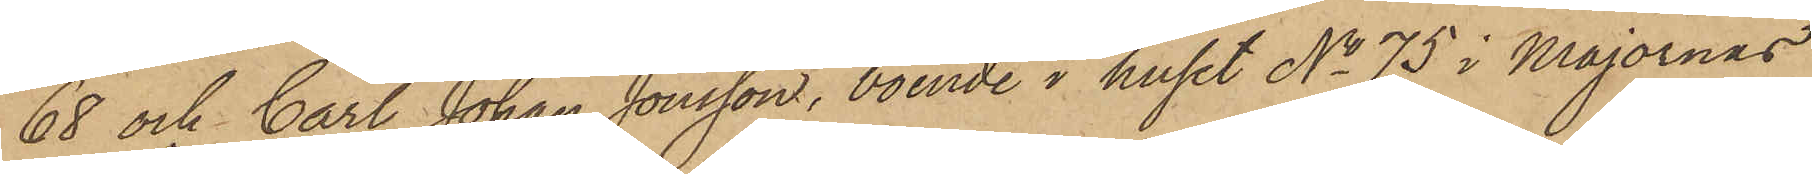68 och Carl Johan Jonsson, boende i huset No 75 i Majornas
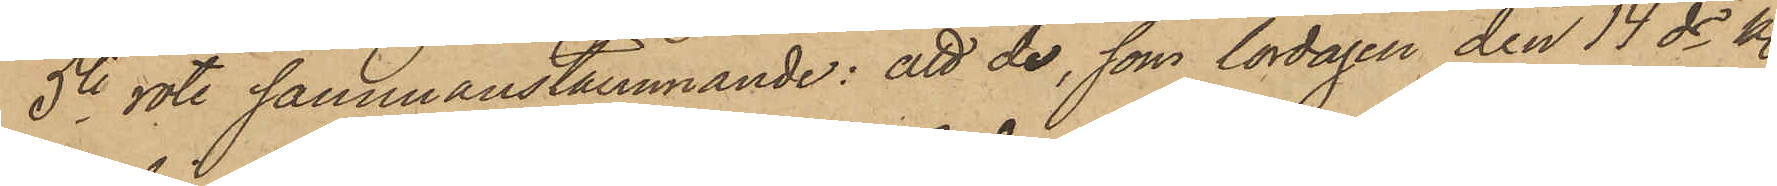5te rote sammanstämmande: att de, som lördagen den 14 ds kl.
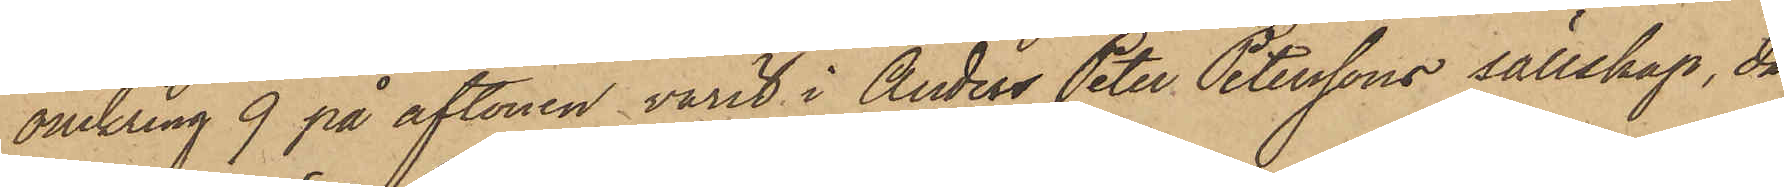omkring 9 på aftonen varit i Anders Peter Peterssons sällskap, då
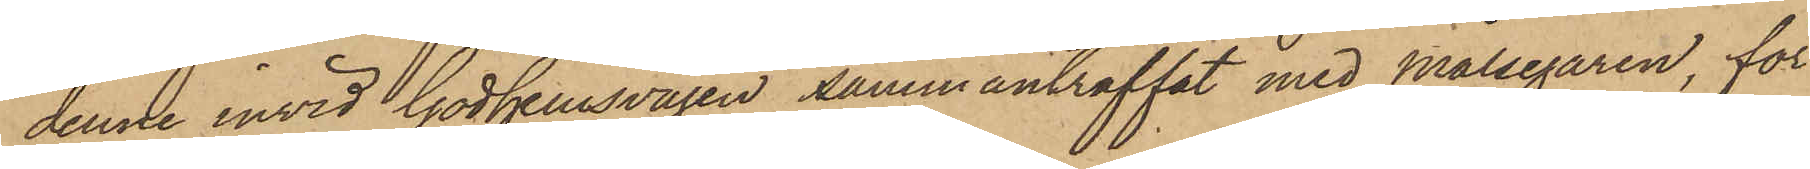denne invid Godhemsvägen sammanträffat med Målsegaren, för¬
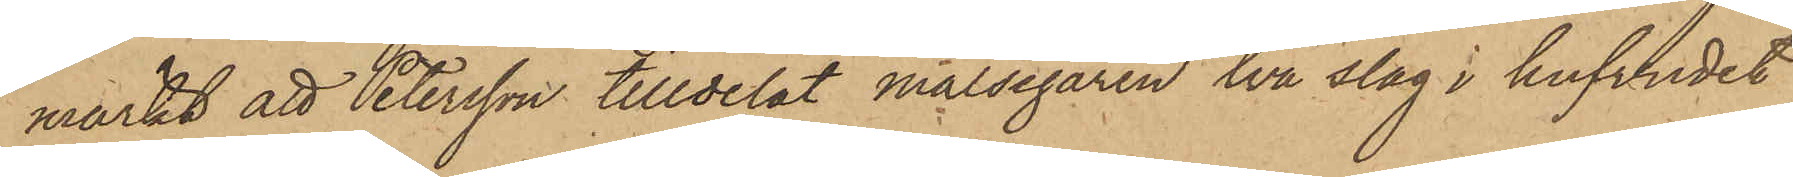märkt att Petersson tilldelat målsegaren två slag i hufvudet
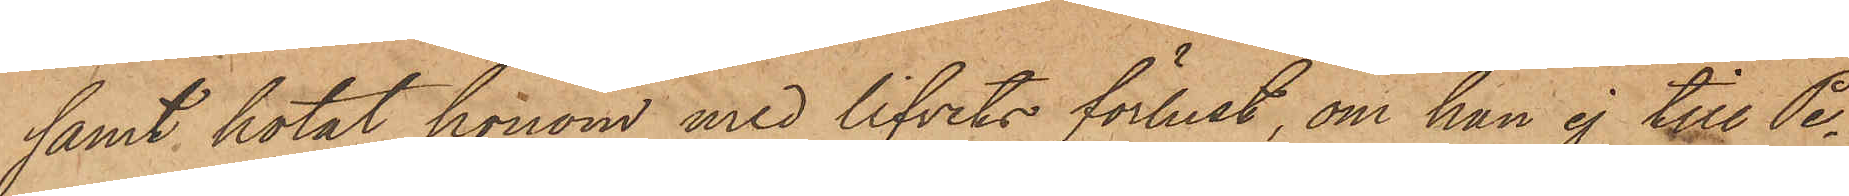samt hotat honom med lifvets förlust, om han ej till Pe¬
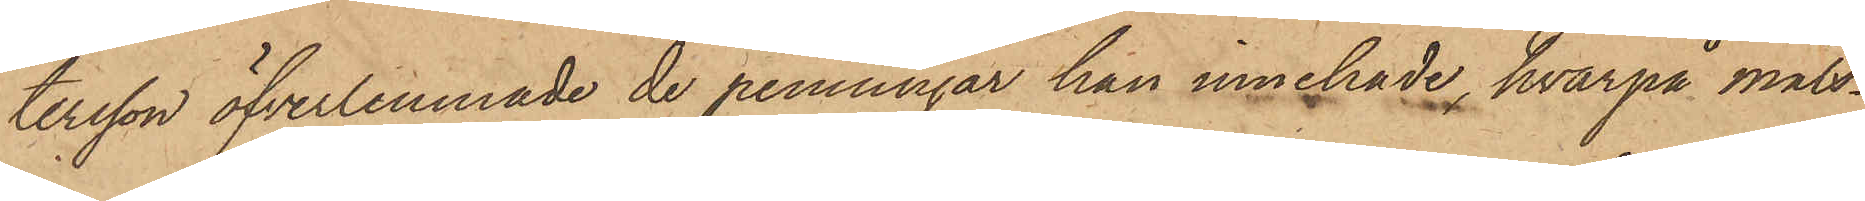tersson öfverlemnade de penningar han innehade, hvarpå Måls¬
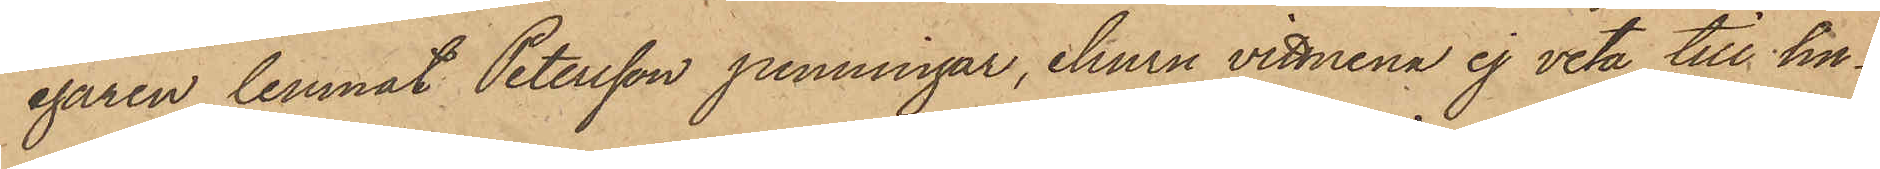egaren lemnat Petersson penningar, ehuru vittnena ej veta till hu¬
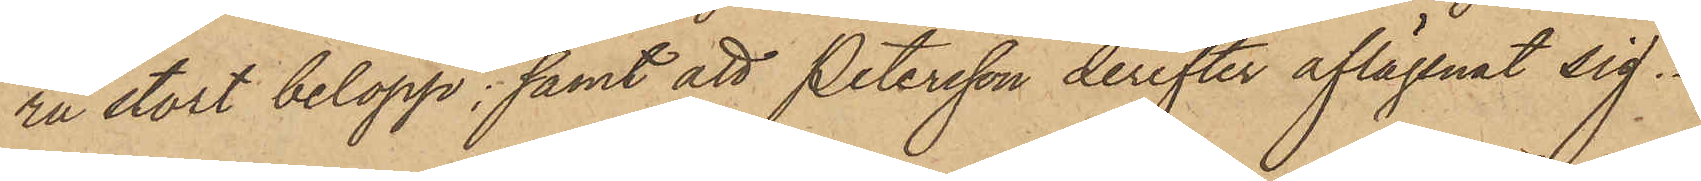ru stort belopp; samt att Petersson derefter aflägsnat sig.
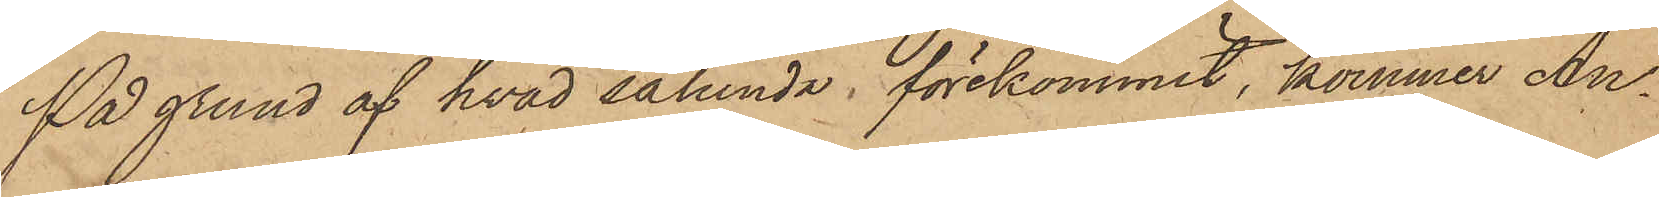På grund af hvad sålunda förekommit, kommer An¬
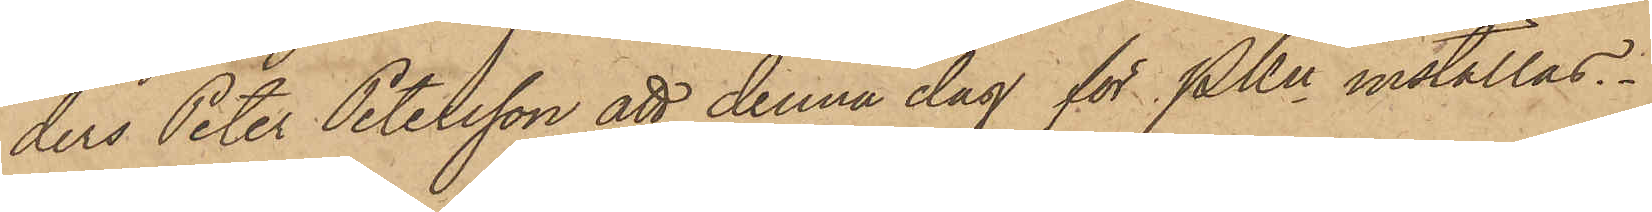ders Peter Petersson att denna dag för PKn inställas.
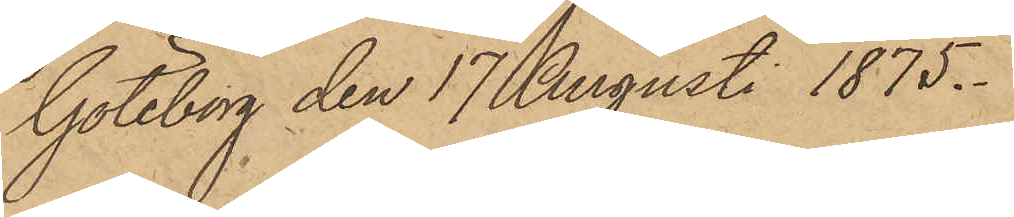Göteborg den 17 Augusti 1875.
